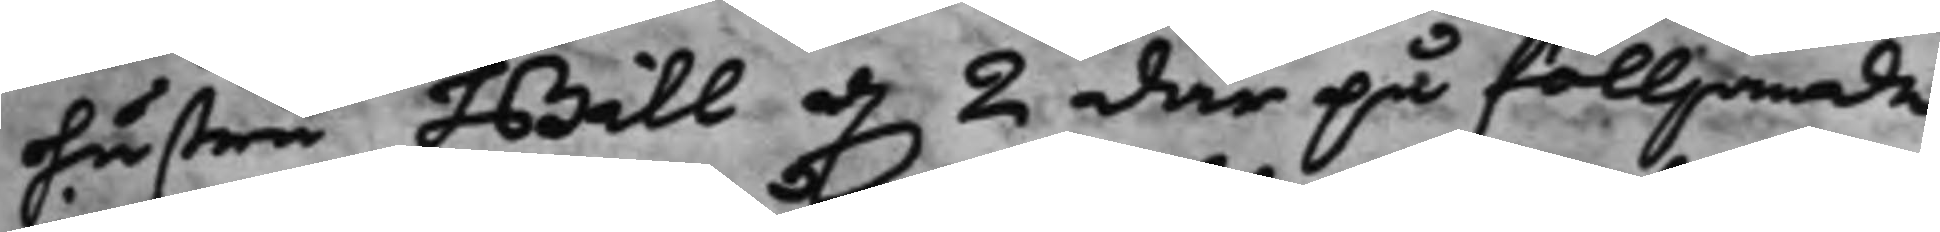hustru Bill d. 2 där på fölljande
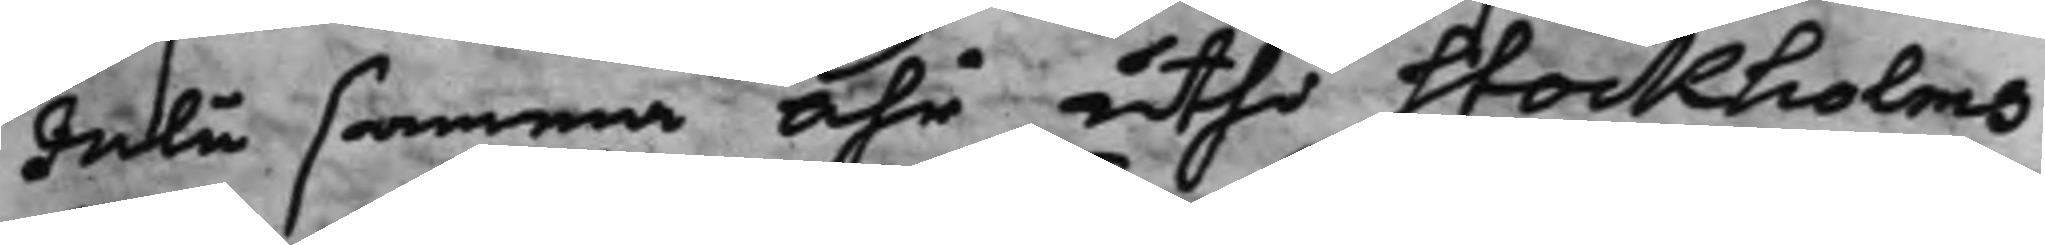Julii samma Åhr uthi Stockholms
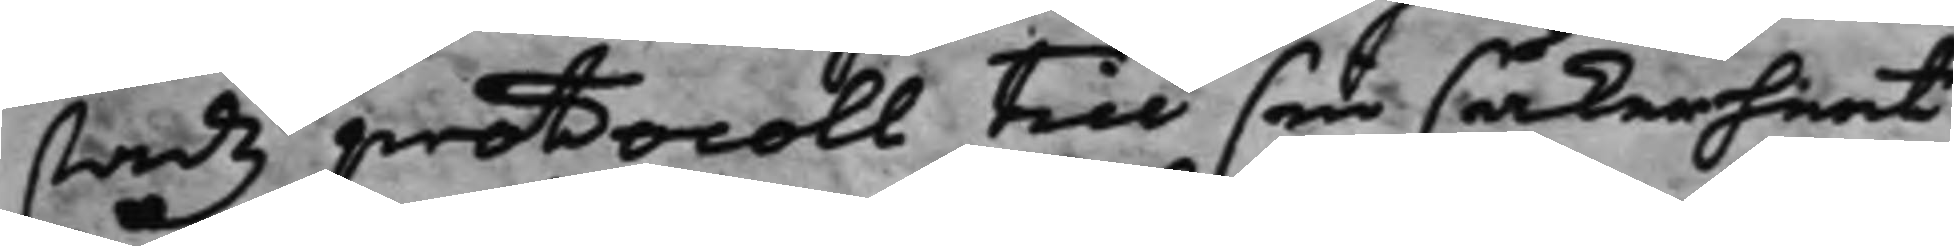stadz protocoll till sin säkerheet
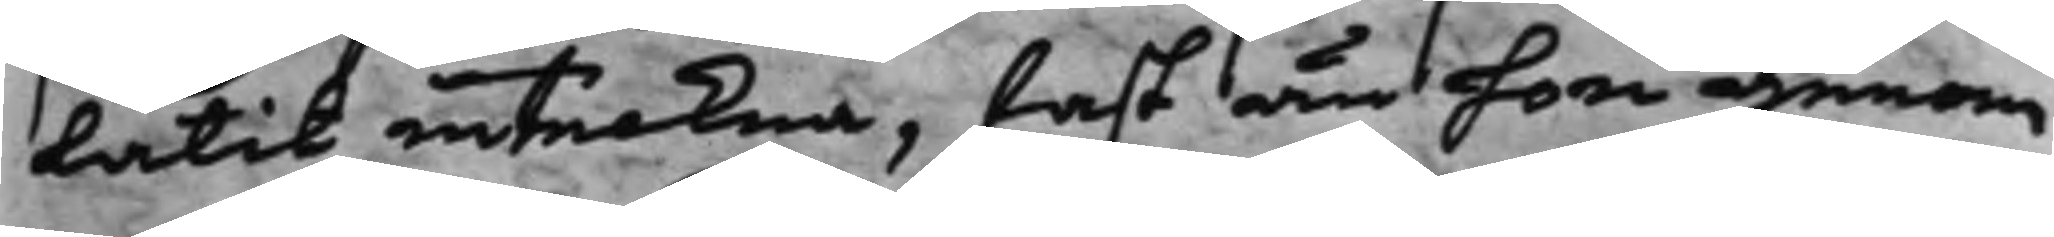låtit inteckna, fast än hon genom
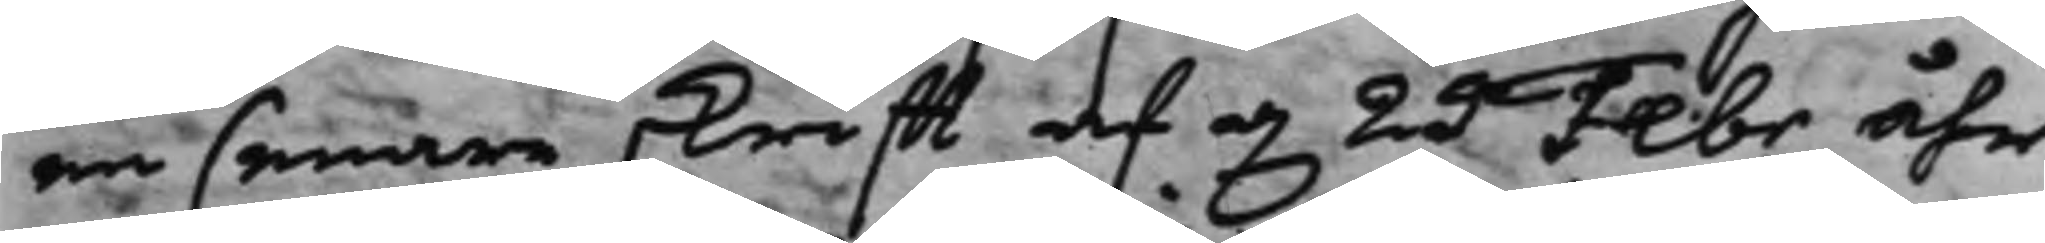en senare skrifft af d. 25 Febr åhr
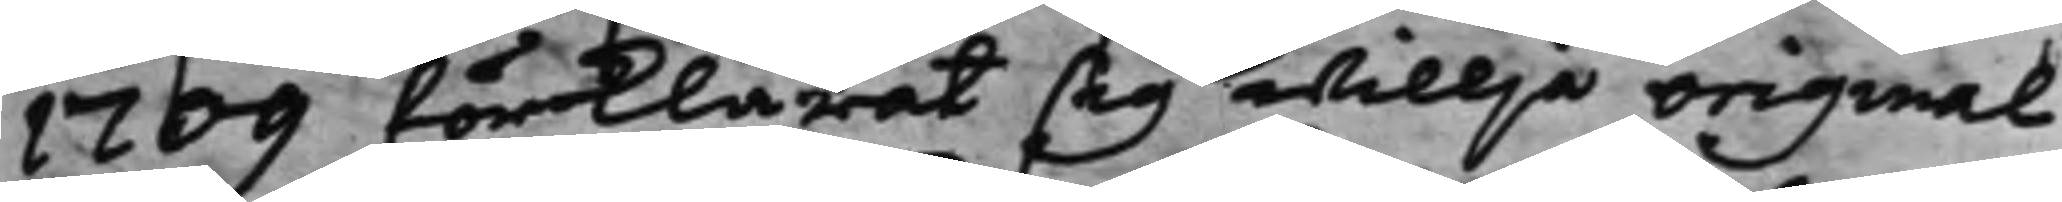1709 förklarat sig willja original
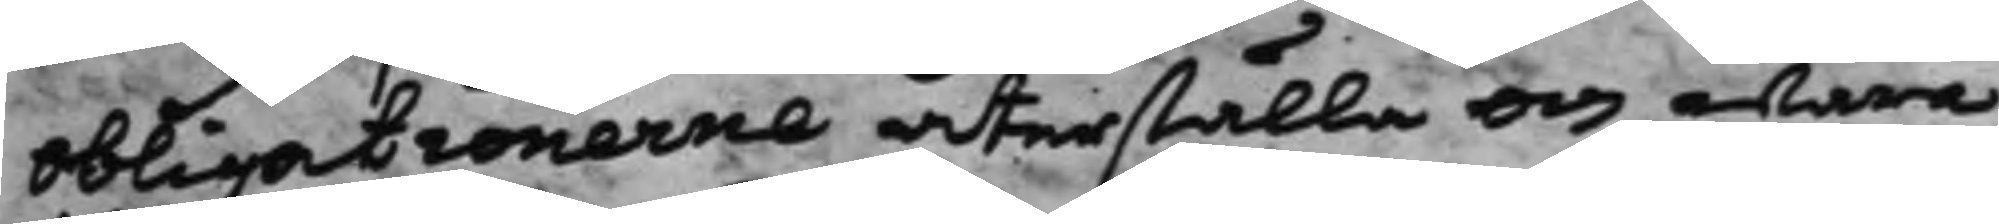obligationerne återställa och wara
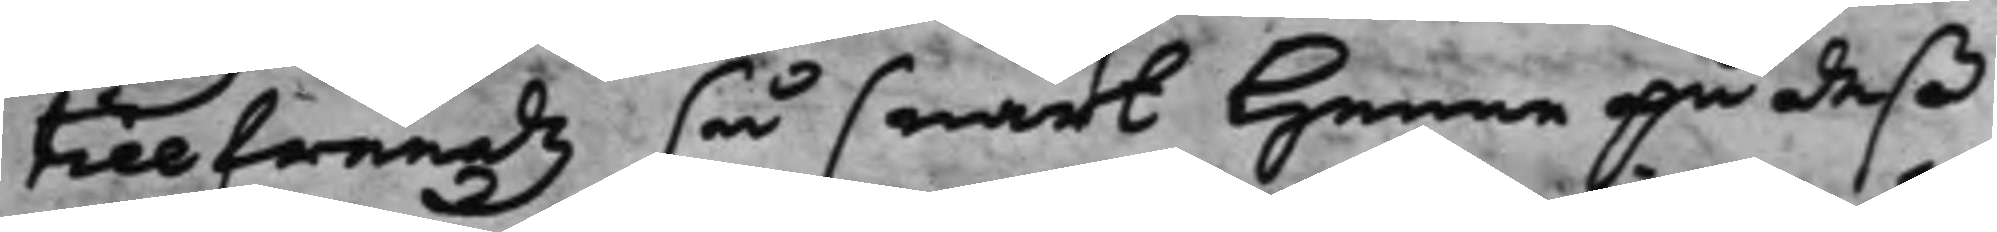tillfreeds så snart henne på deß
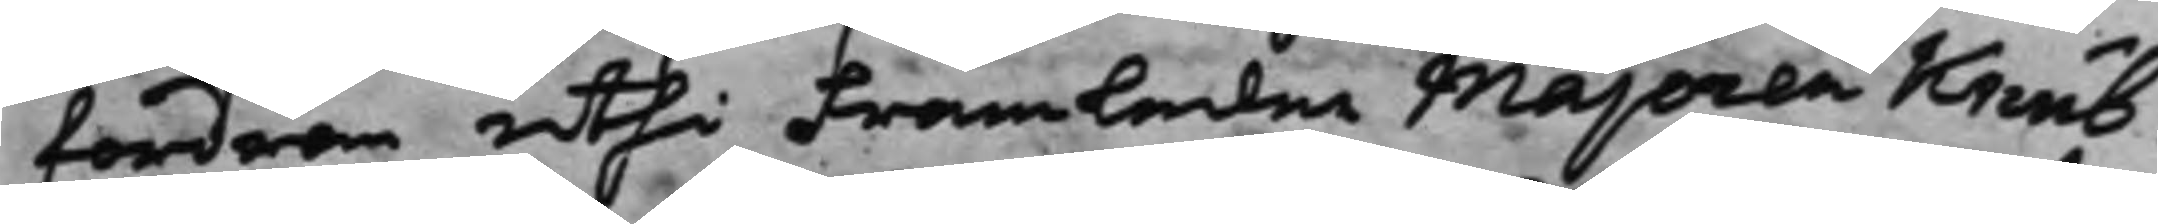fordran uthi Framledne Majoren Knub¬
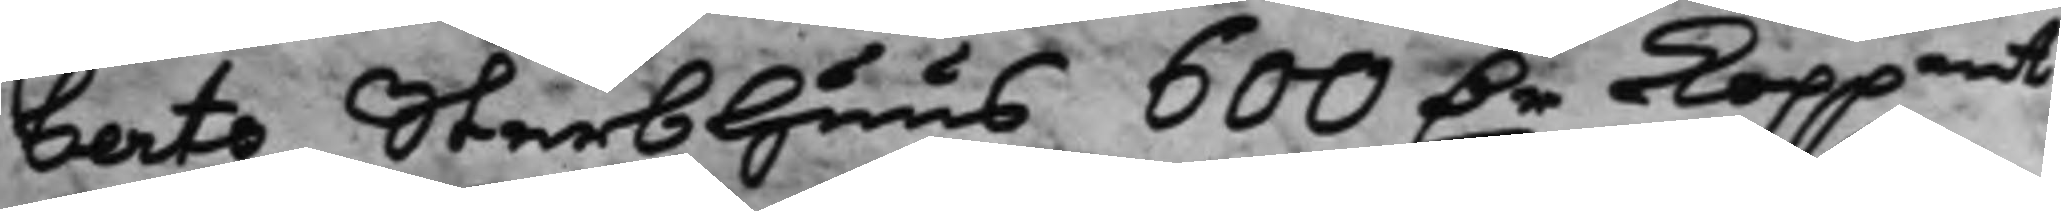berts Sterbhuus 600 D.r Koppmt 
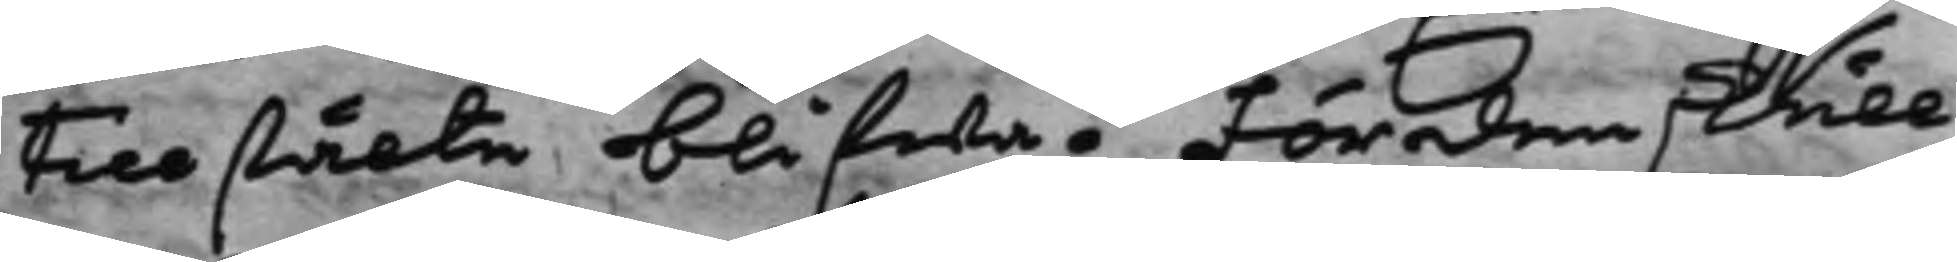tillstälte blifwa. Fördenskull
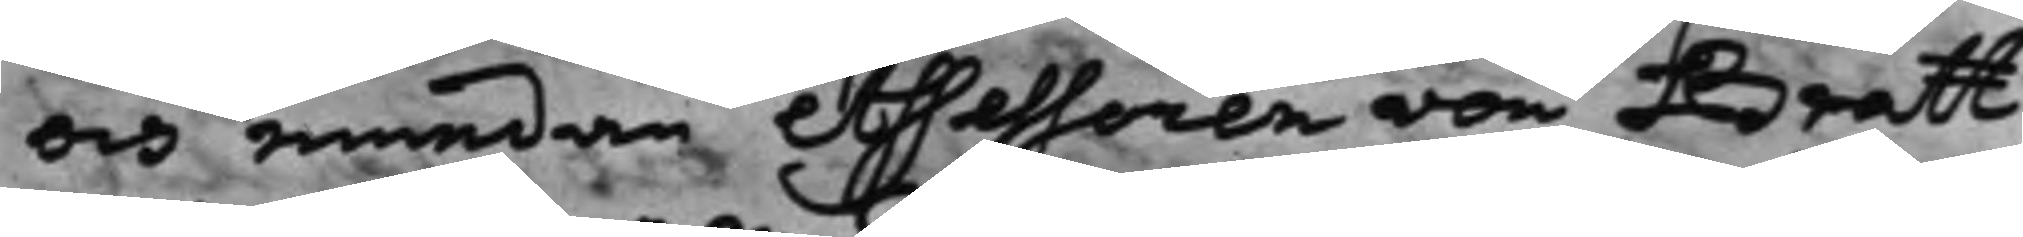och emedan Assessoren von Bratt
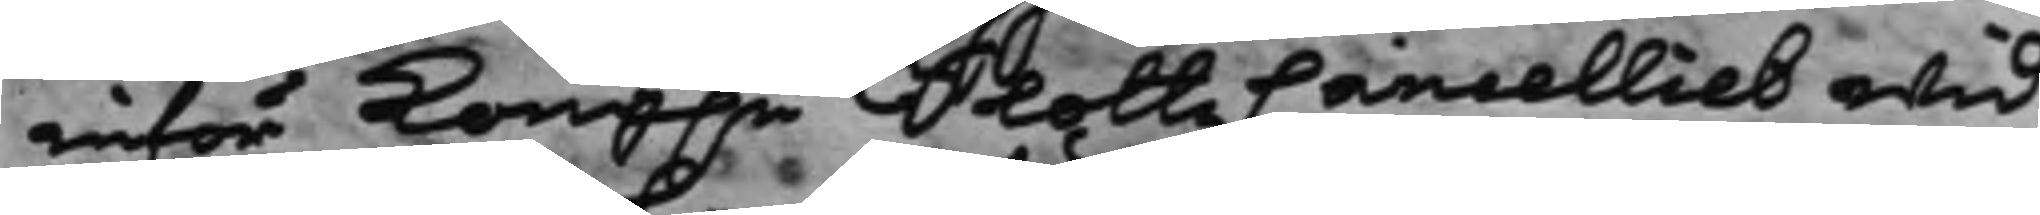inför Kong.e SlottzCancelliet wid¬
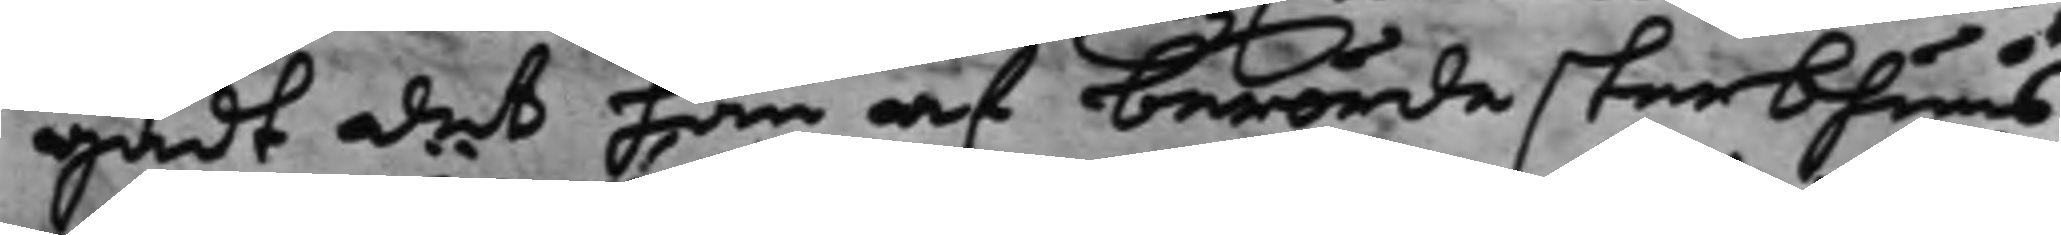gådt det han af berörde sterbhuus
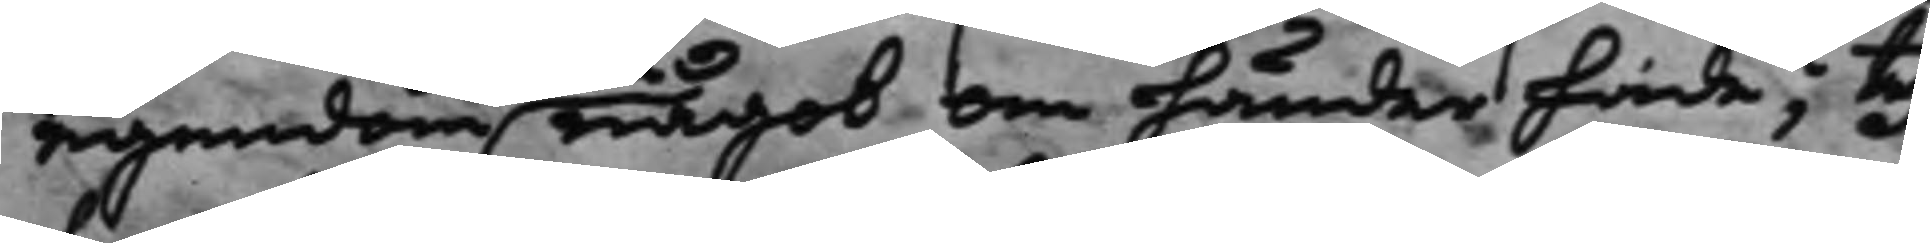egendom något om händer hade; Ty
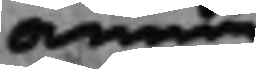annu
